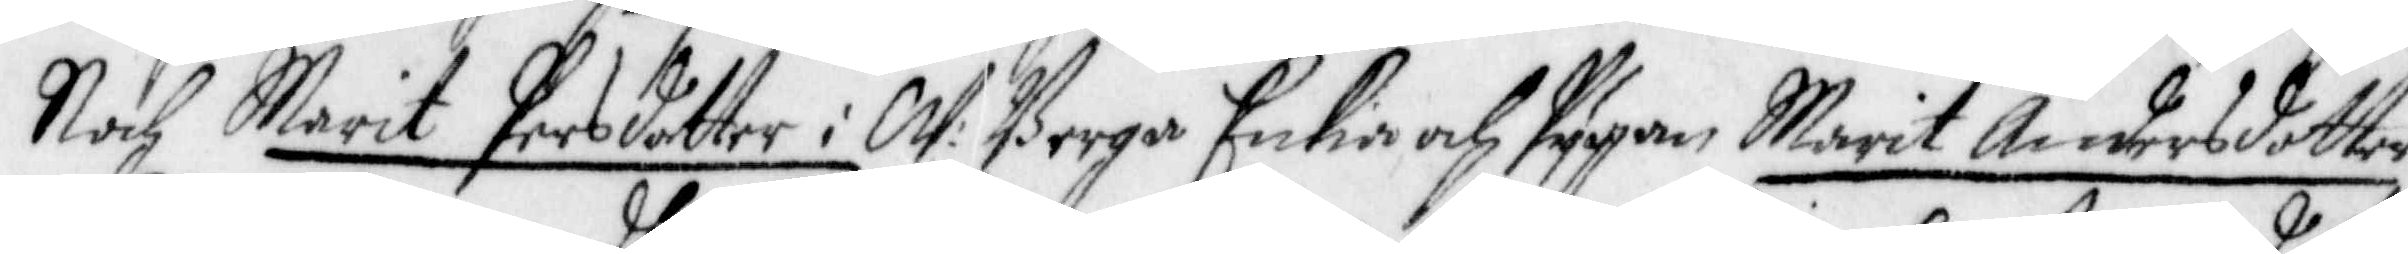Noch Marit Persdotter i W: Berga Enkia och Pygan Marit Andersdotter
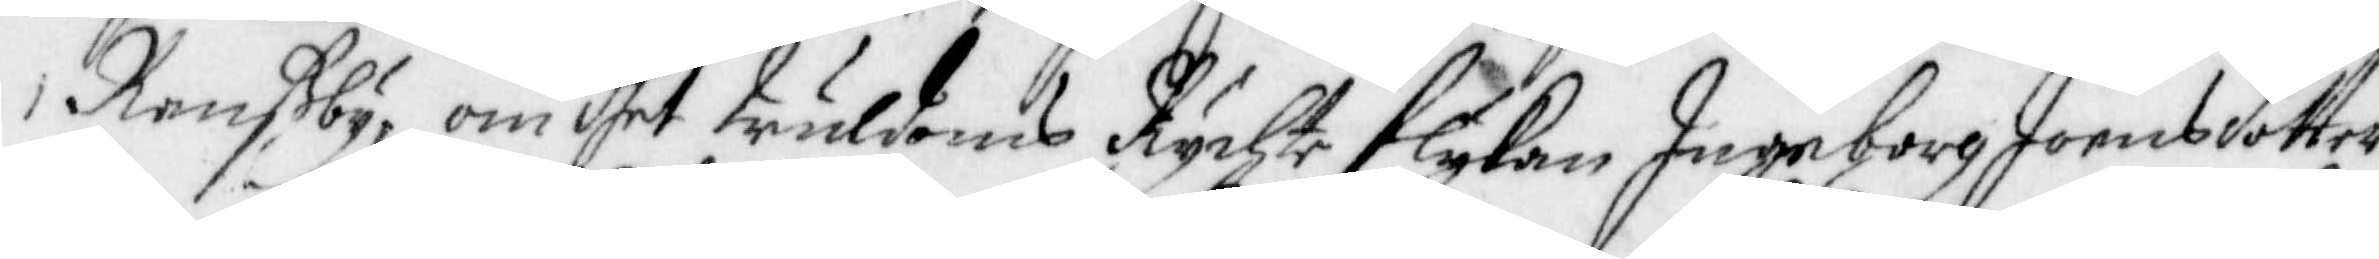Ranßby, om dhet truldoms Rychte flykan Ingeborg Joensdotter
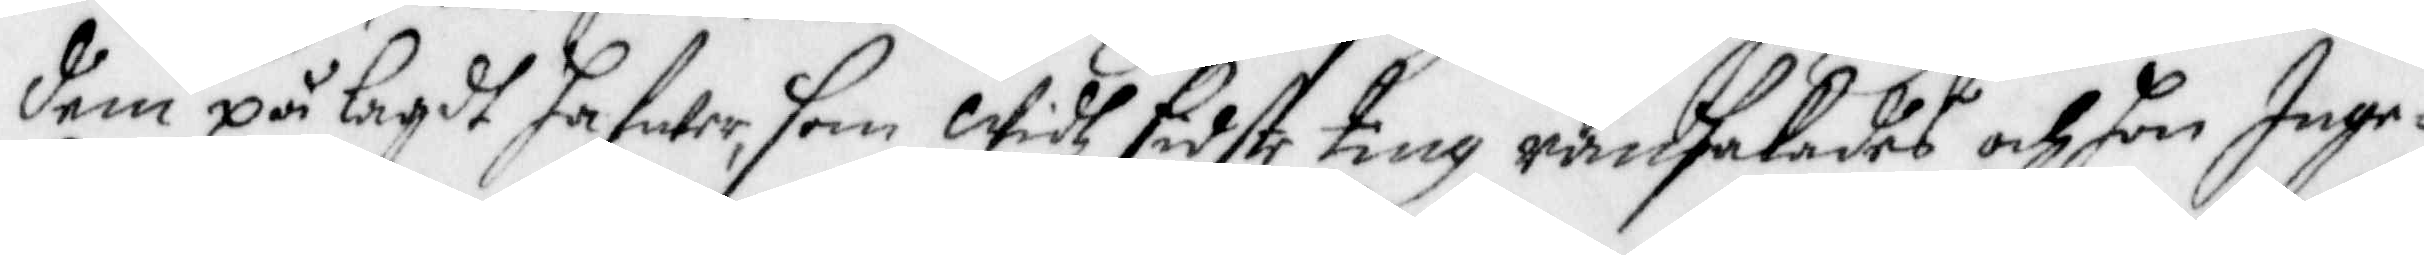dem på lagdt hafwer, som Widh sidste ting ransakades och hon Inge¬
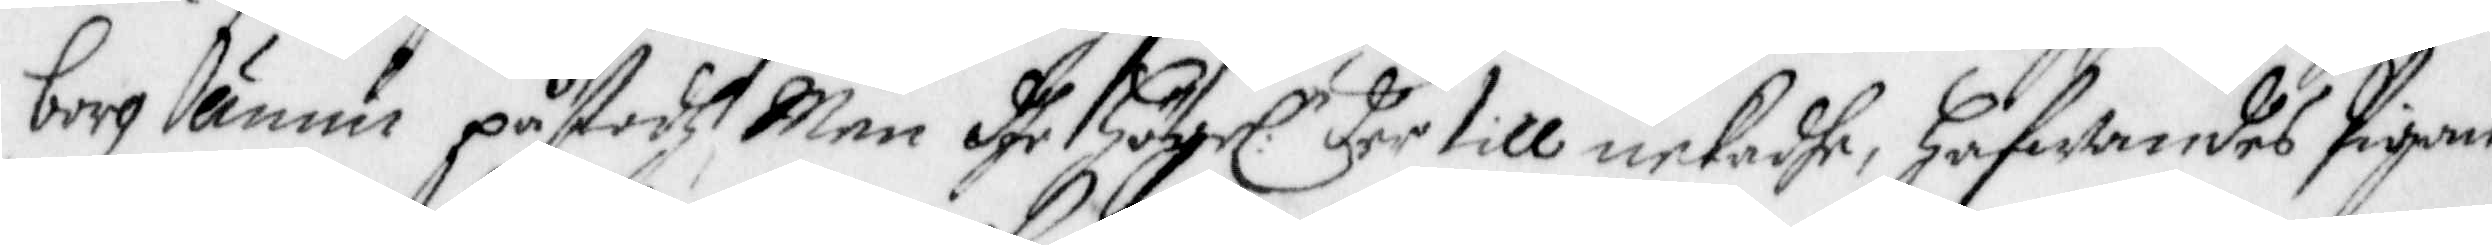borg ännu påstodh, Men dhe Högel:n der till nekadhe, Hafwandes Pigan
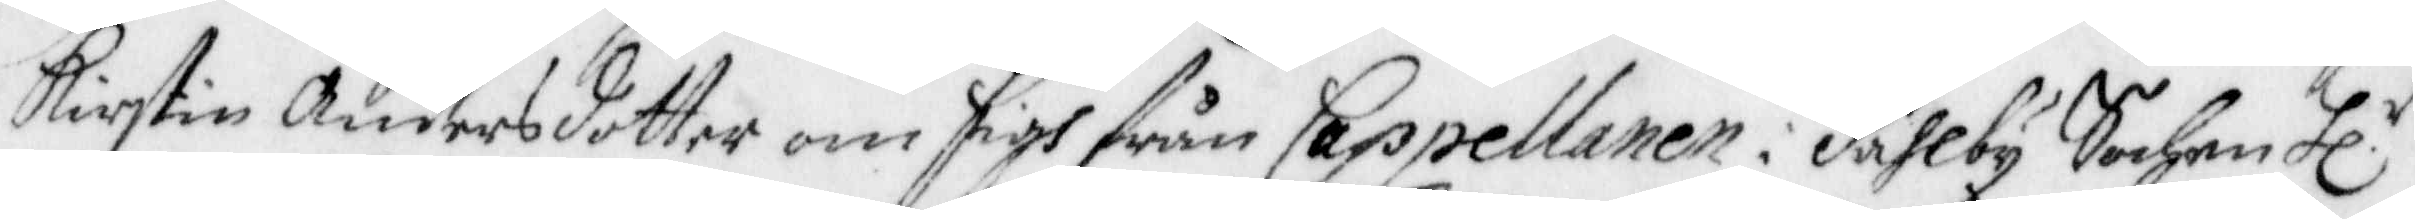Kirstin Andersdotter om sigh från Cappellanen i Dahlby Sochn Hl.r
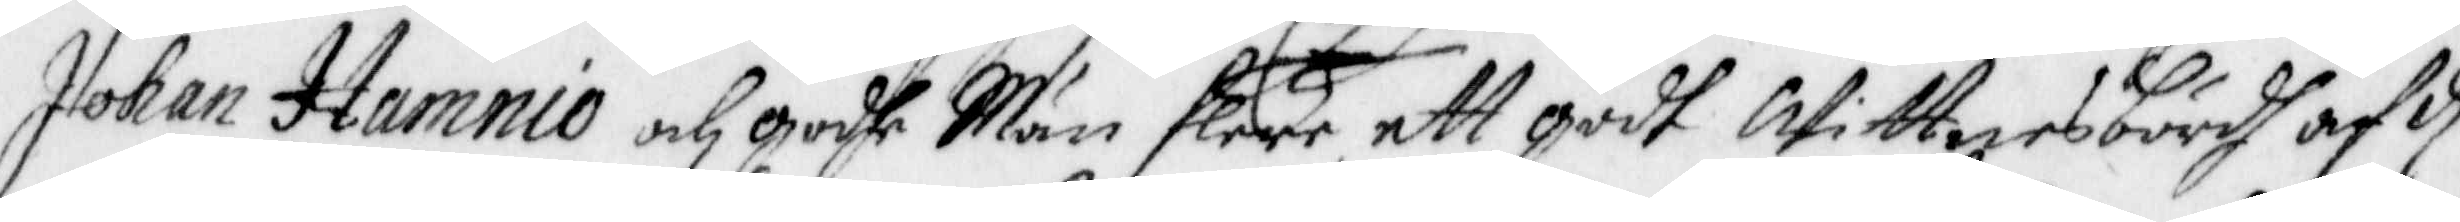Johan Hamnio och godhe Män flere, ett godt Wittnesbördh af d
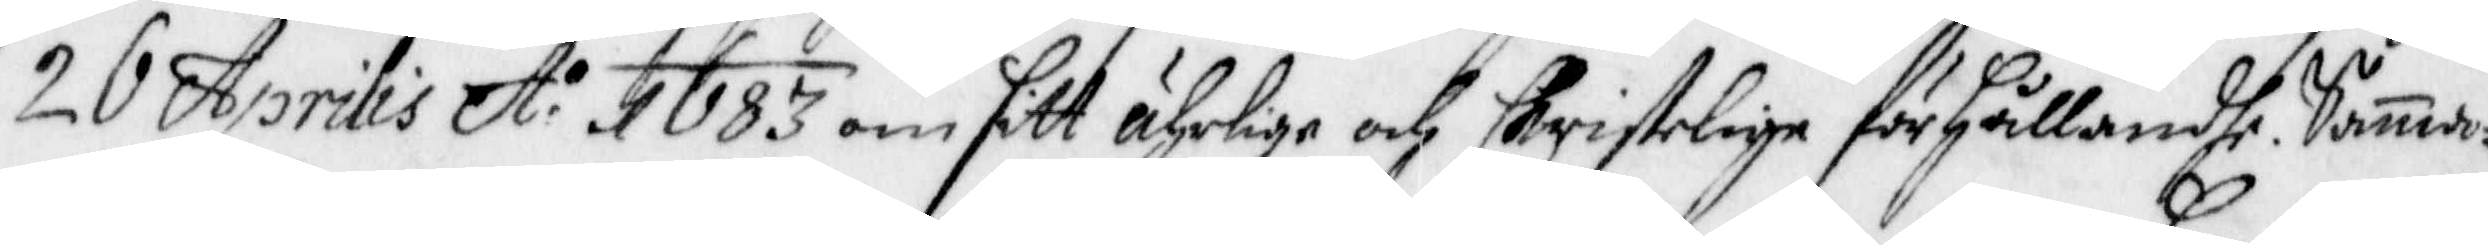20 Aprilis A:o 1683 om sitt ährlige och Christelige förhållande. Samma¬
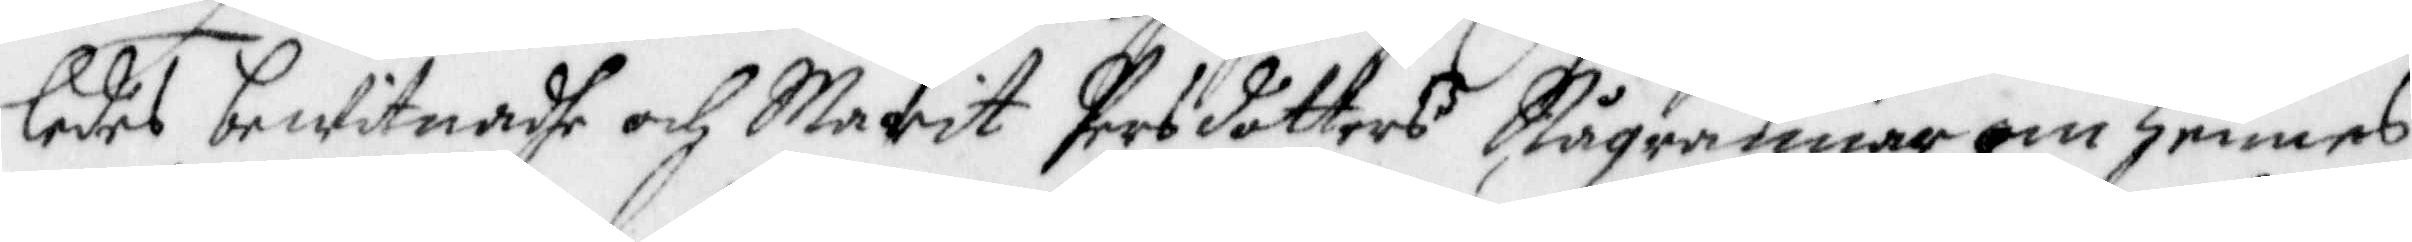ledes bewittnadhe och Marit Persdotters Några mer om hennes
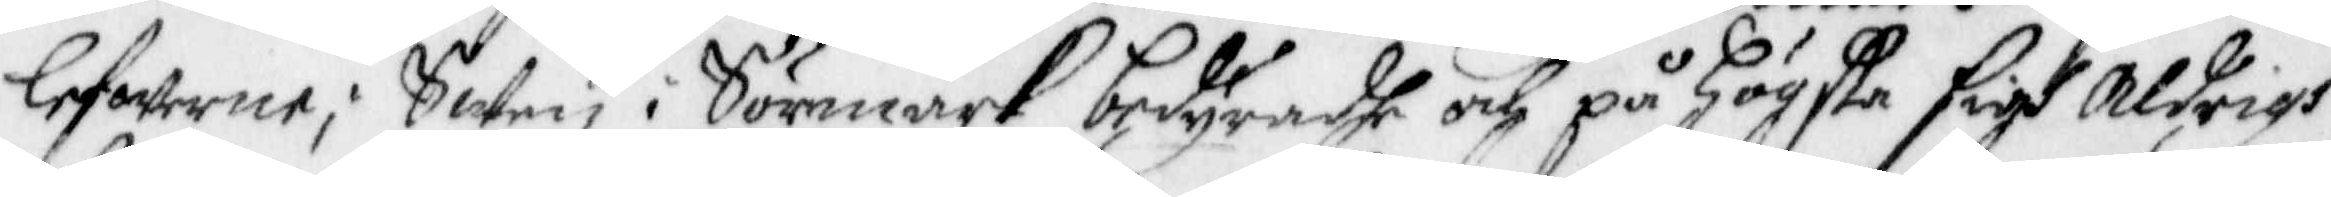lefwerne; Swen i Sörmark, bedyradhe och på Högste sigh Aldrigh
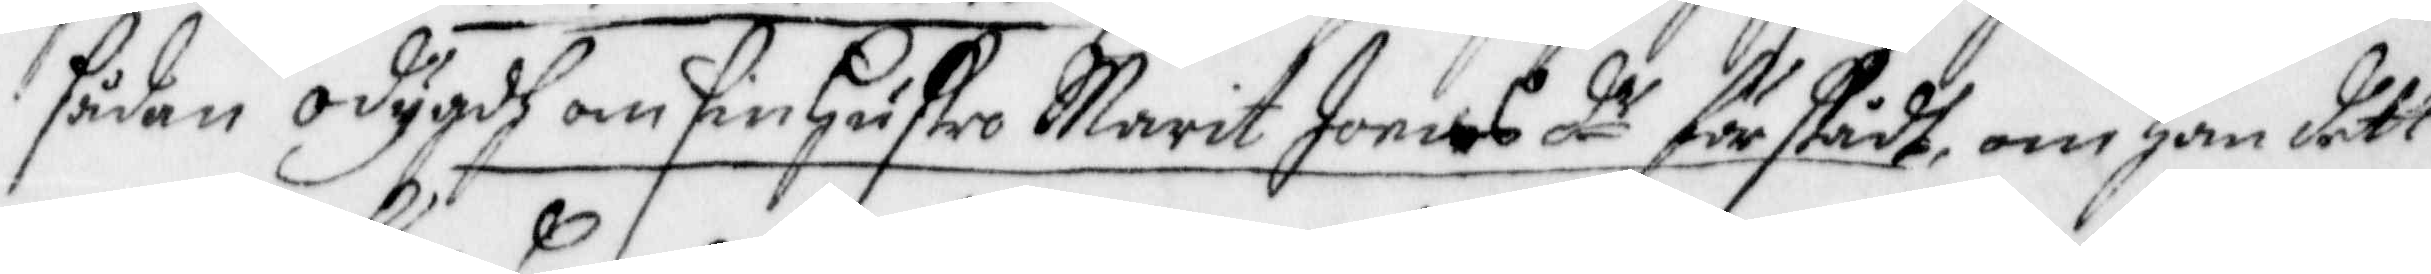sådan odygdh om sin Hustro Marit Joens d:r förstådh, om han dett
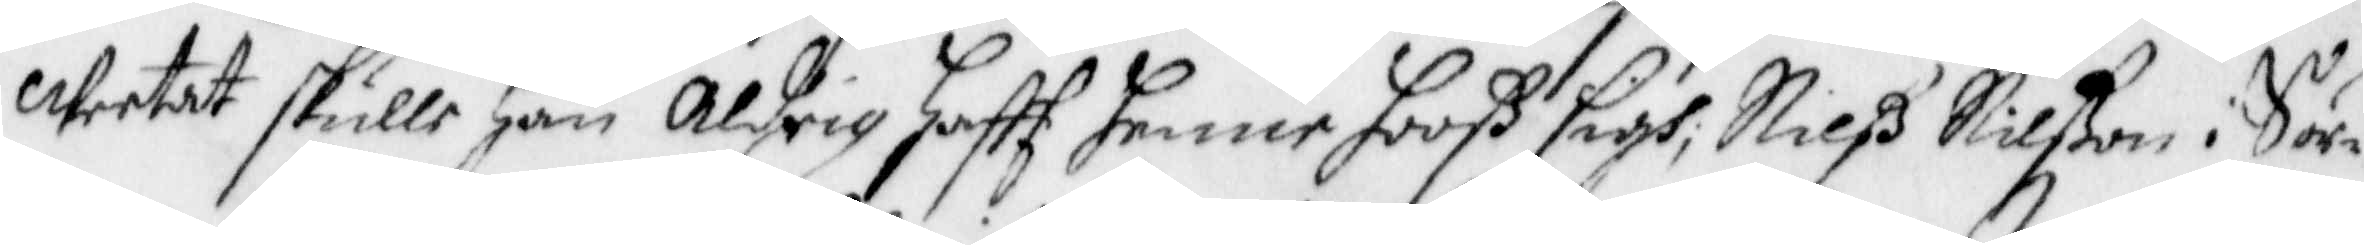weetat skulle han aldrig Hafft henne hooß sigh, Nilß Nilßon i Sör¬
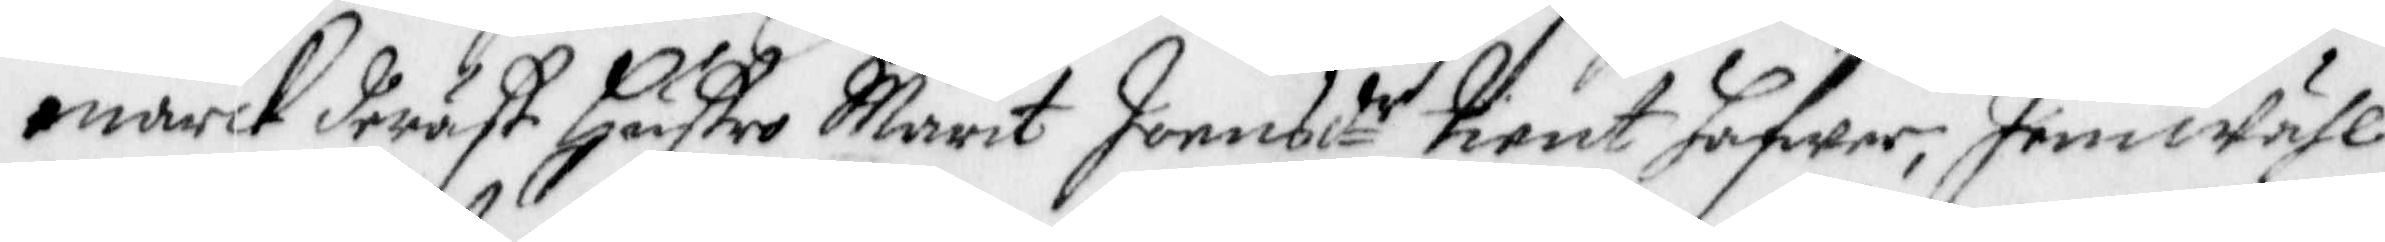marck deräst, Hustro Marit Joensdr tient hafwer, Jemwähl
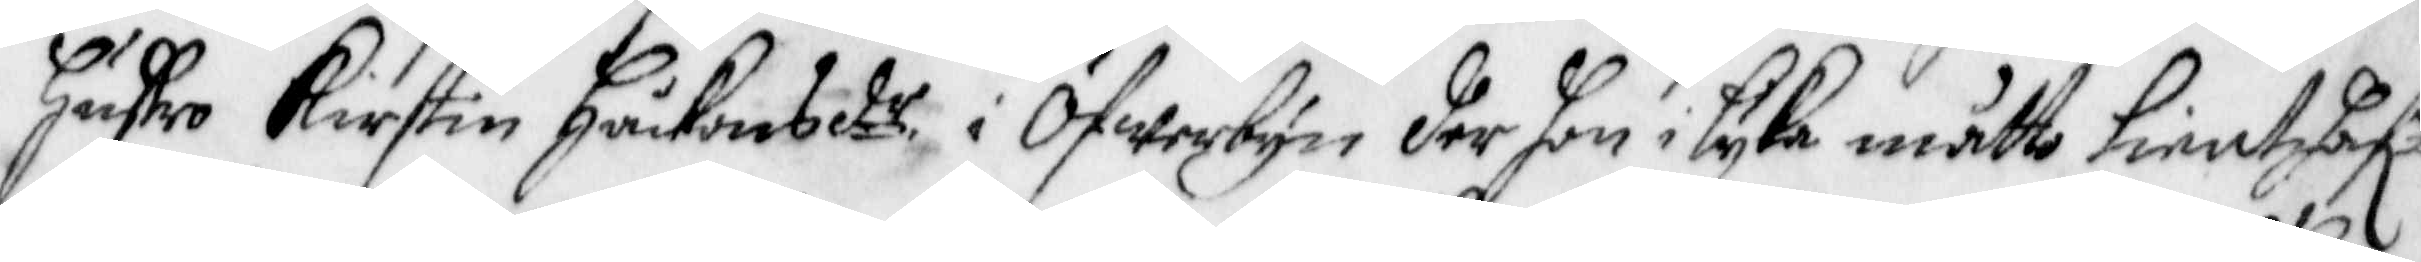Hustro Kirstin Håkansdr i Öfwerbyn der hon i lyka måtto tient hafr
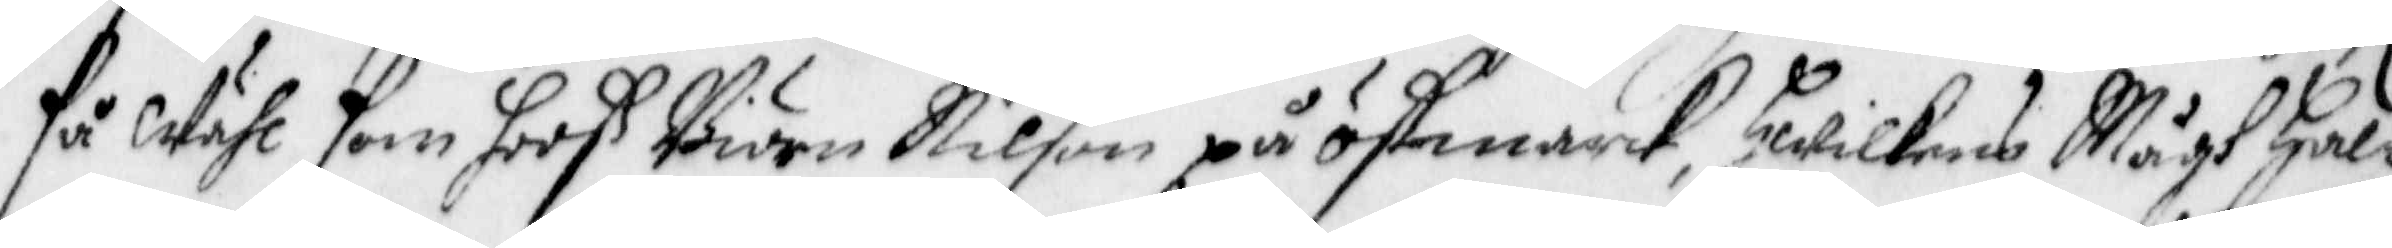få Wähl som hooß Biörn Nilson på östmarck, Hwilkens Mågh Hal¬
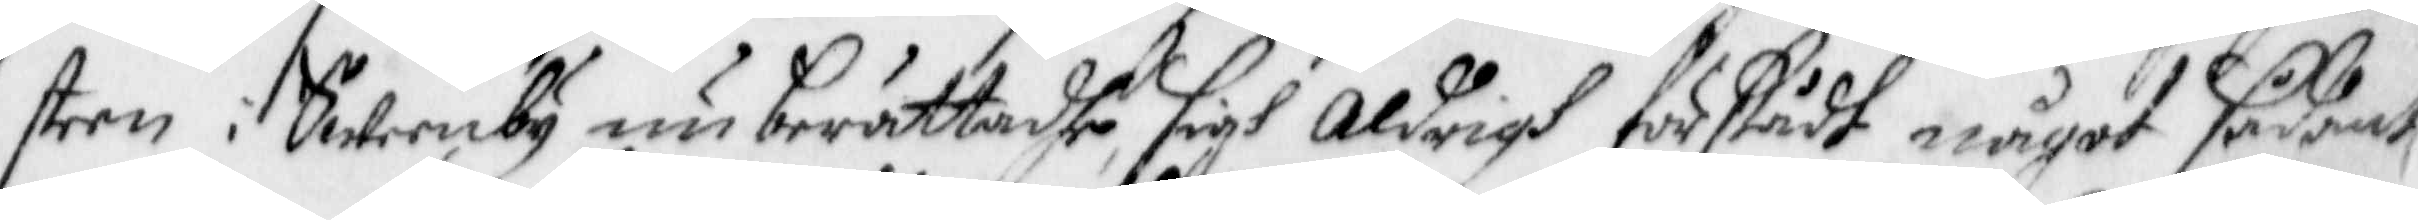steen i Sweenby nu berättadhe sigh aldrigh förstådt något sådant
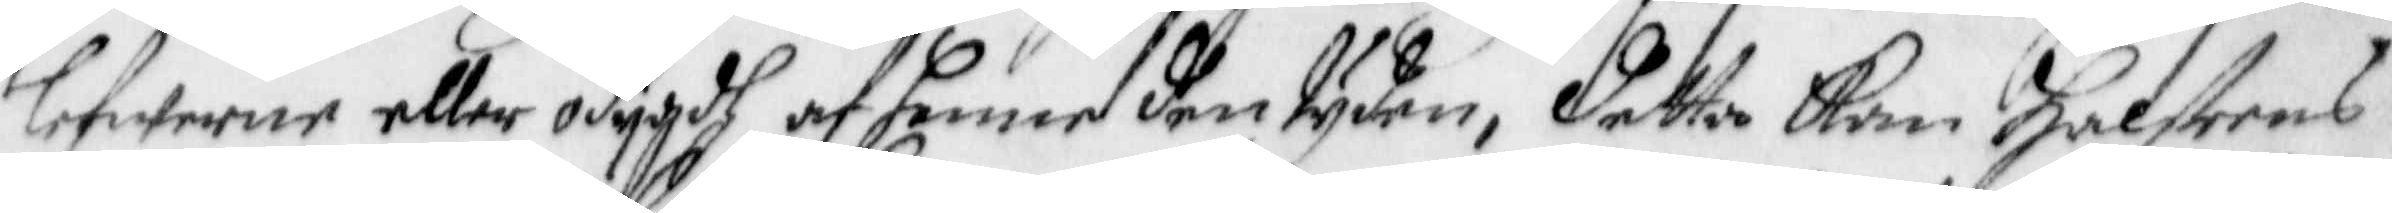lefwerne eller odygdh af henne den tyden, detta kan Halsteens
